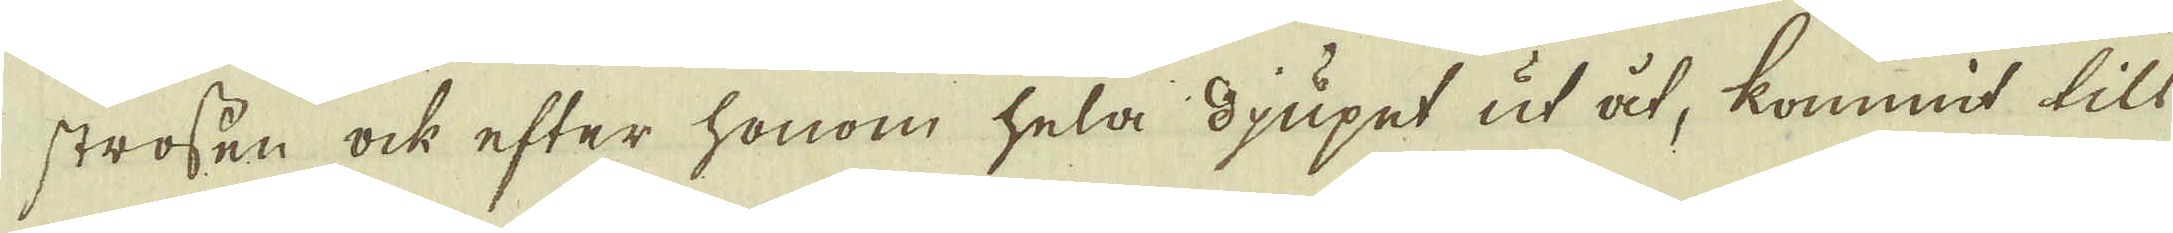strossen ock efter honom hela djupet ut åt, kommit till
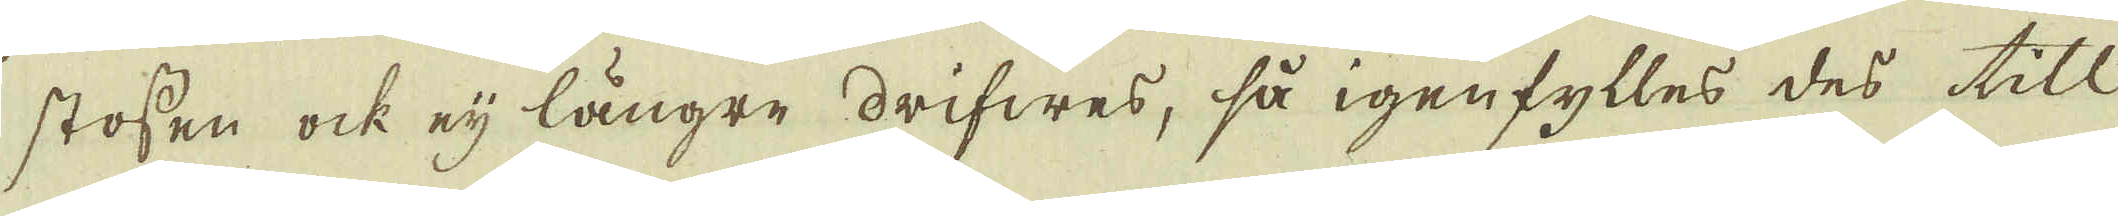stossen ock eij längre drifwes, så igenfylles des till-
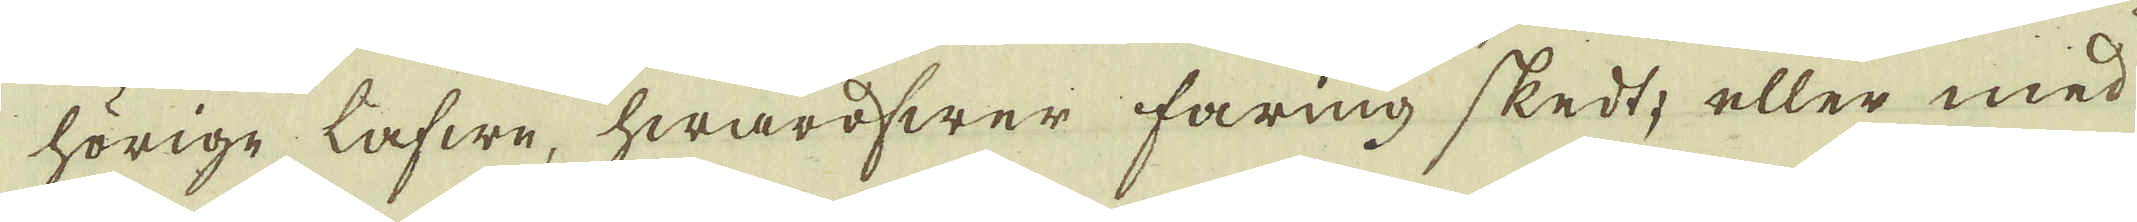hörige lafwe, hwaröfwer faring skedt, eller med
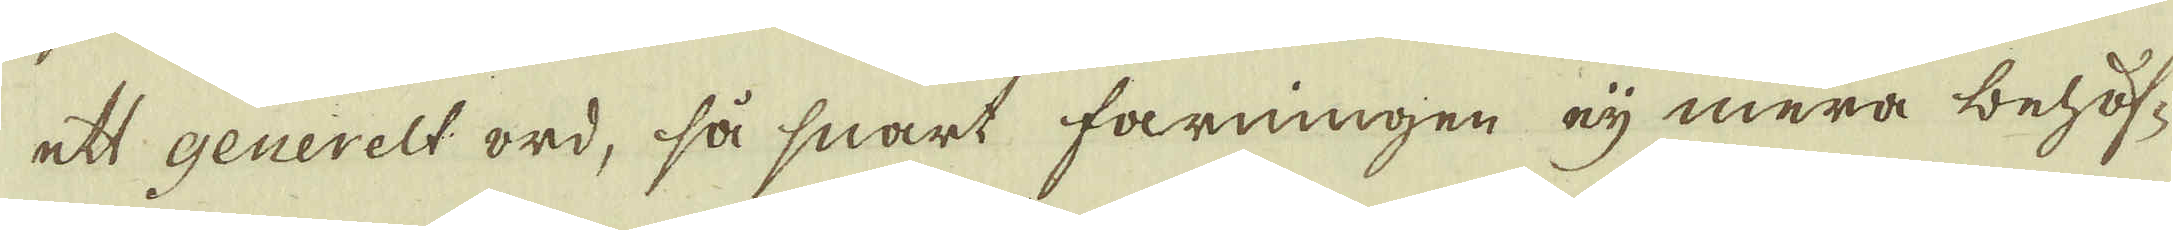ett generelt ord, så snart fårningen eij mera behöf-
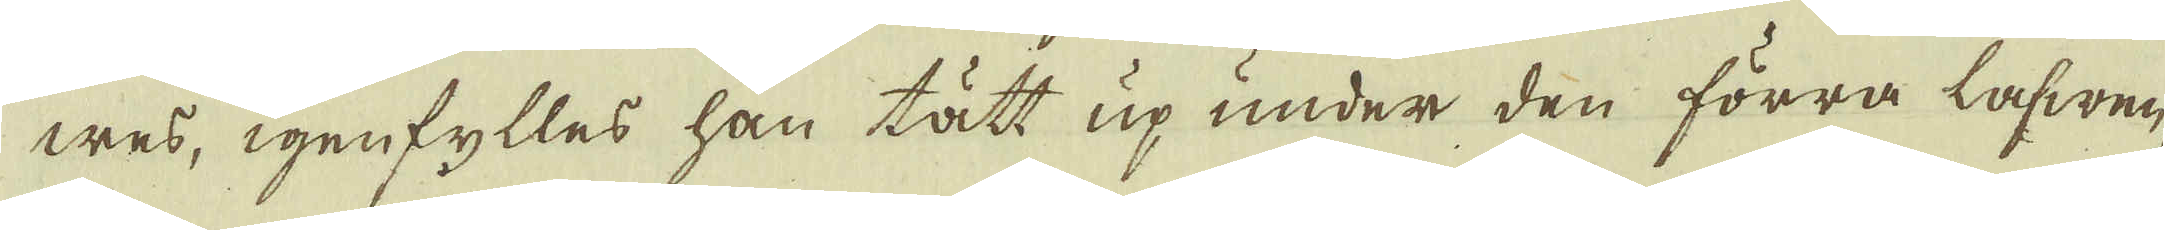wes, igenfylles han tätt up under den förra lafwen,
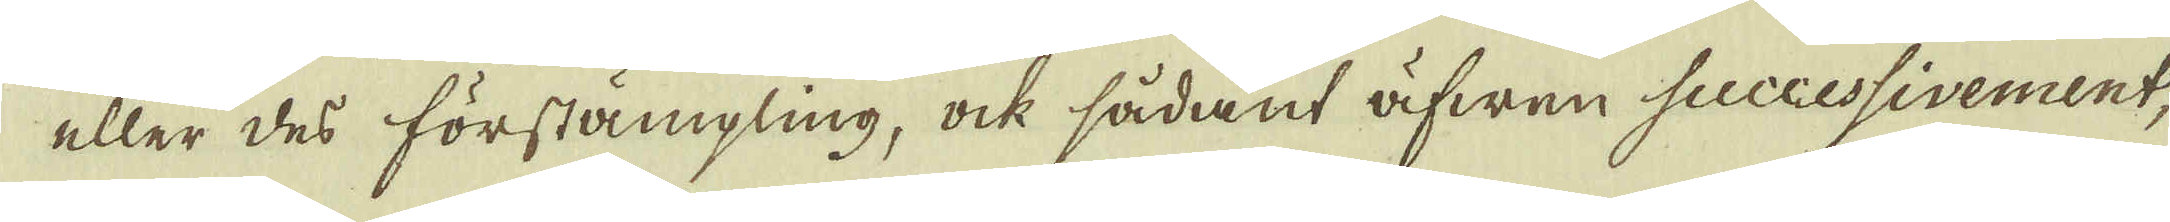eller des förstämpling, ock sådant äfwen successivement,
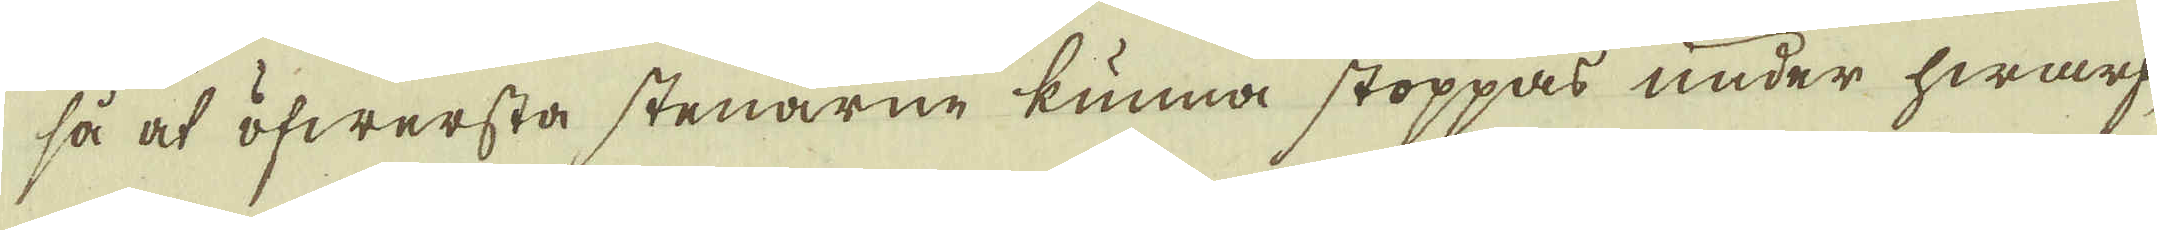så at öfwersta stenarne kunna stoppas under hwarf-
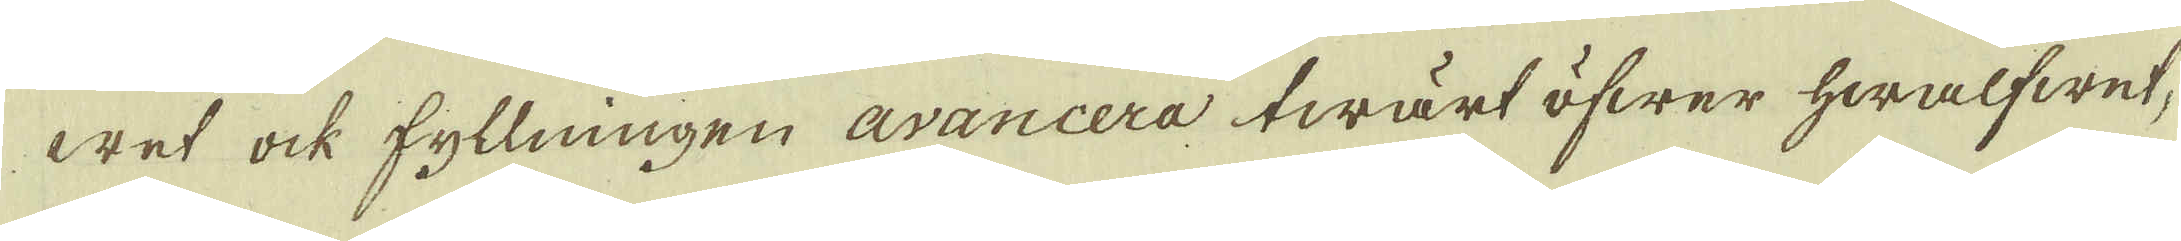wet ock fyllningen avancera twärt öfwer hwalfwet,
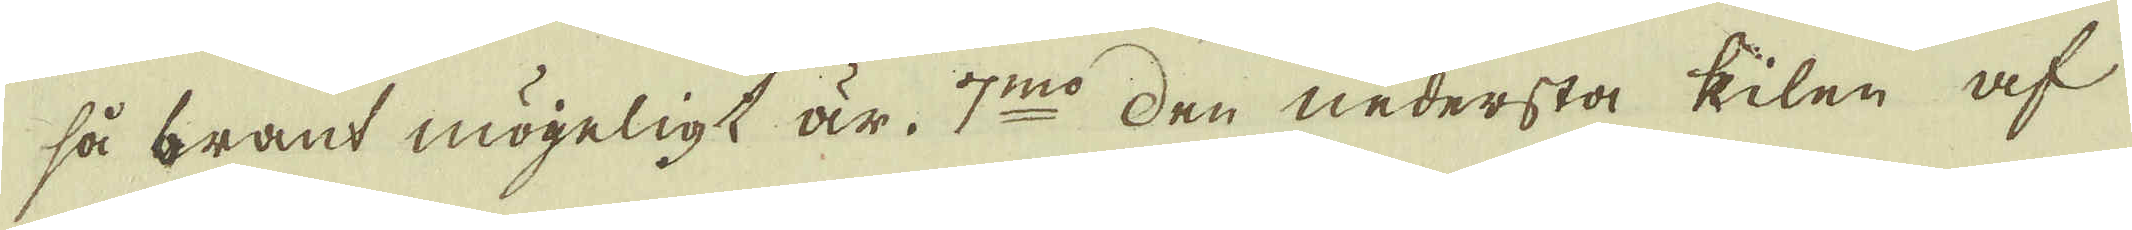så brant möjeligt är. 7:mo den nedersta kilen af
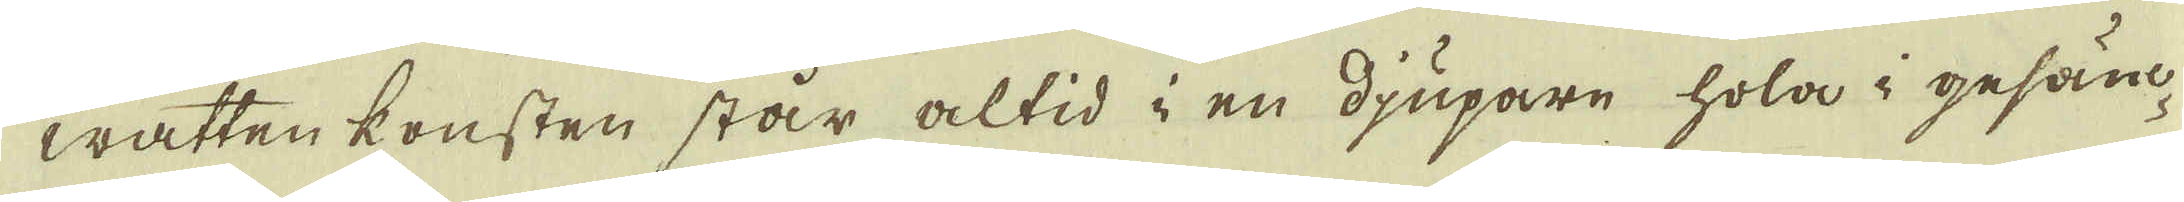watten konsten står altid i en djupare hola i gesänc-
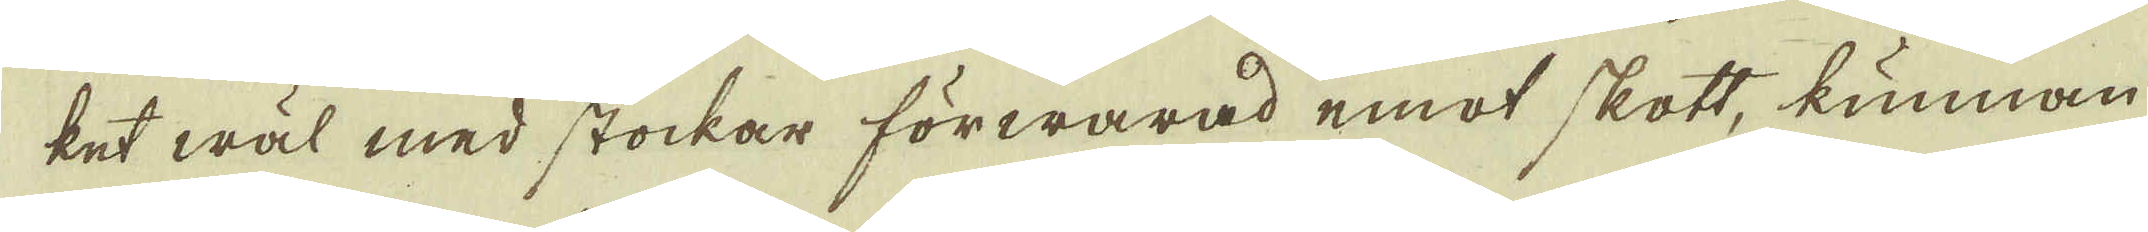ket wäl med stockar förwarad emot skott, kunnan-
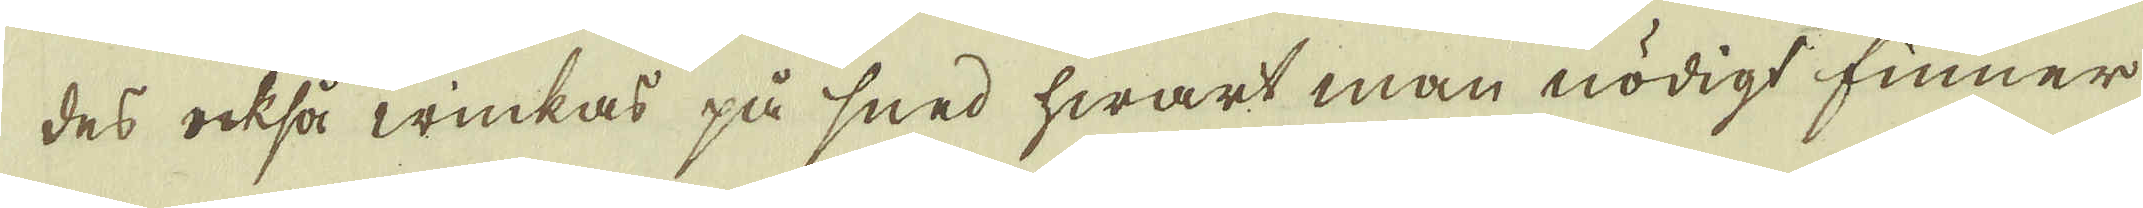des också winkas på sned hwart man nödigt finner
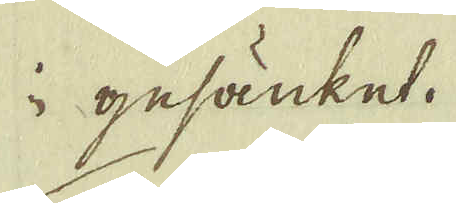i gesänket.
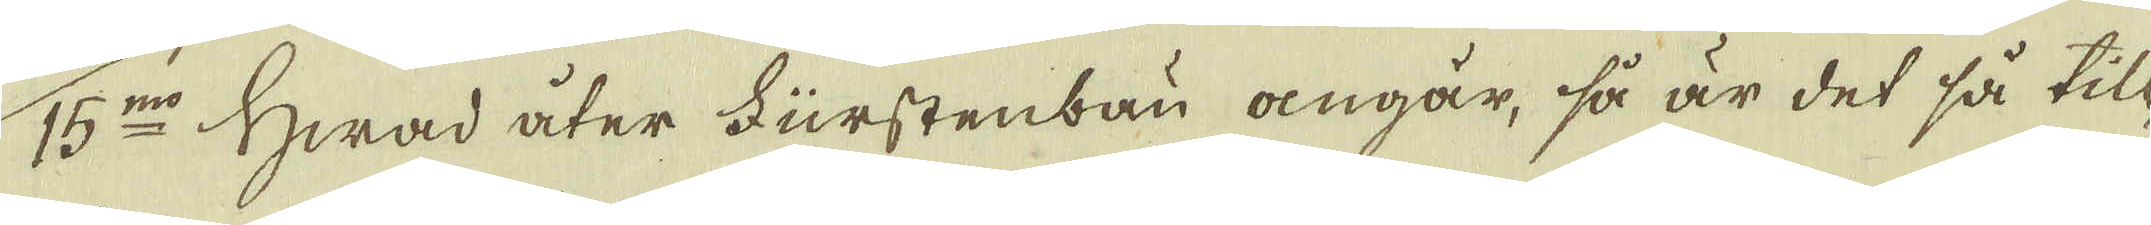15:mo Hwad åter Fürstenbau angår, så är det så till
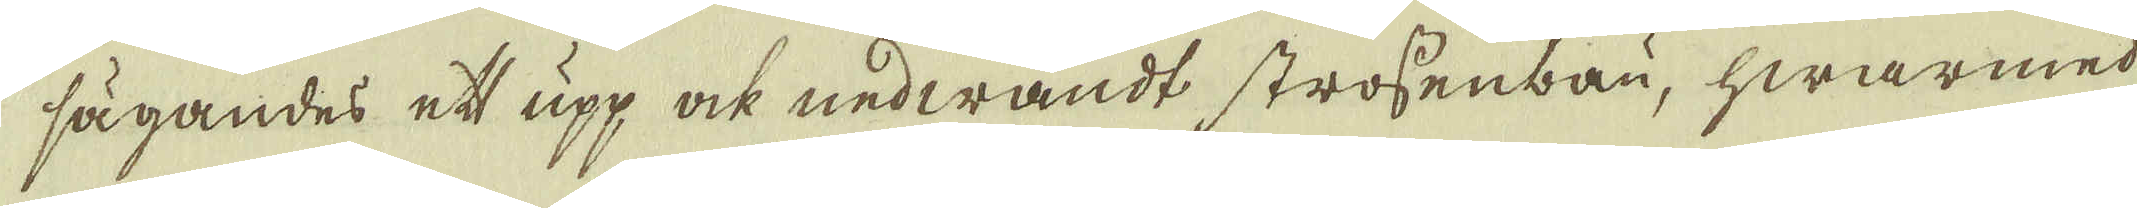sägandes ett upp ock nedwändt strossenbau, hwarmed
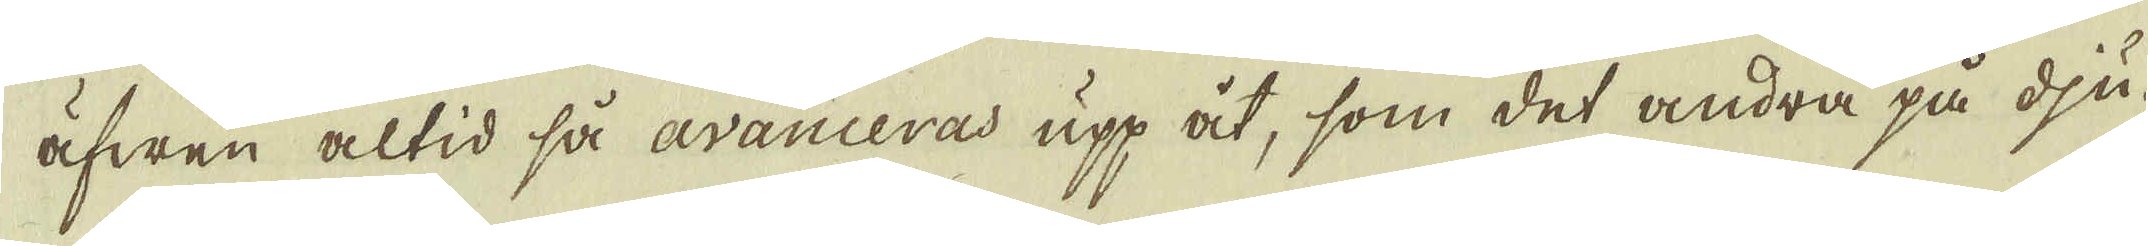äfwen altid så avanceras upp åt, som det andra på dju-
